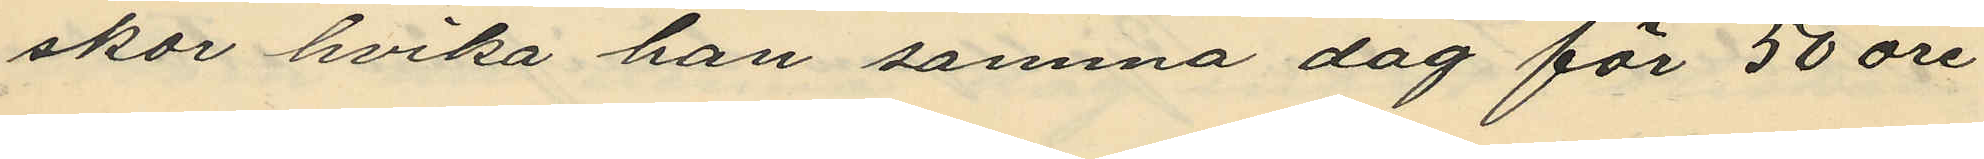skor hvika han samma dag för 50 öre
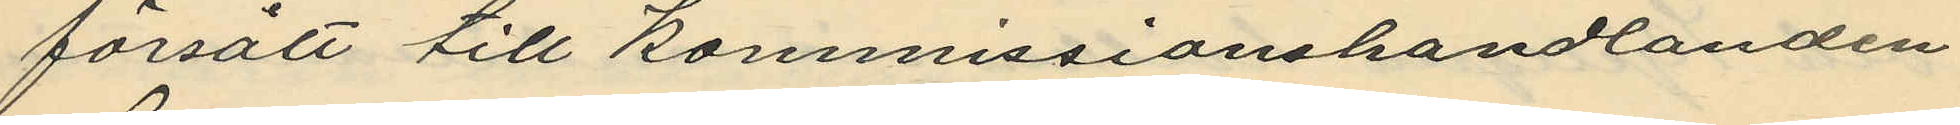försålt till Kommissionshandlanden
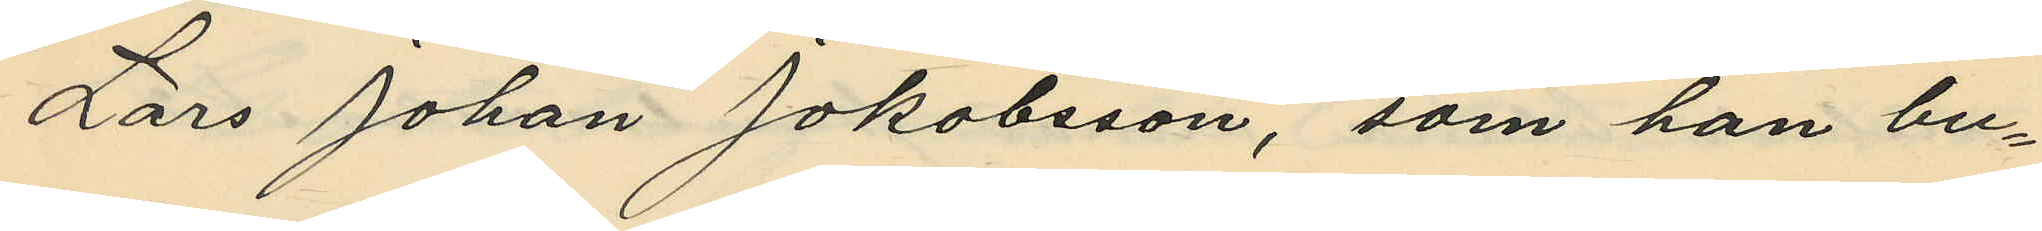Lars Johan Jakobsson, som har bu¬
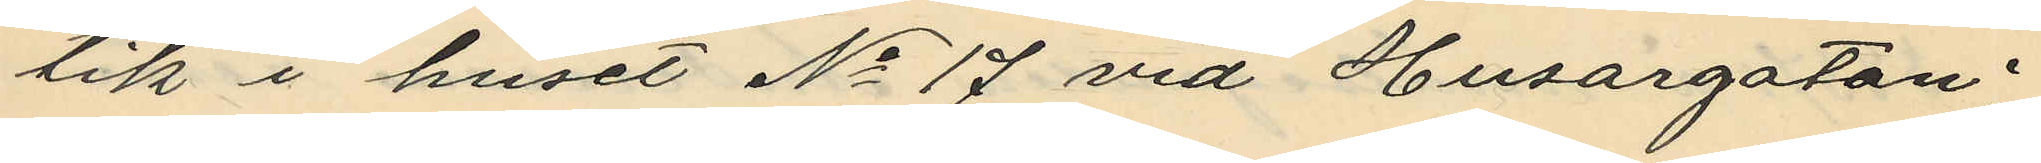tik i huset No 17 vid Husargatan
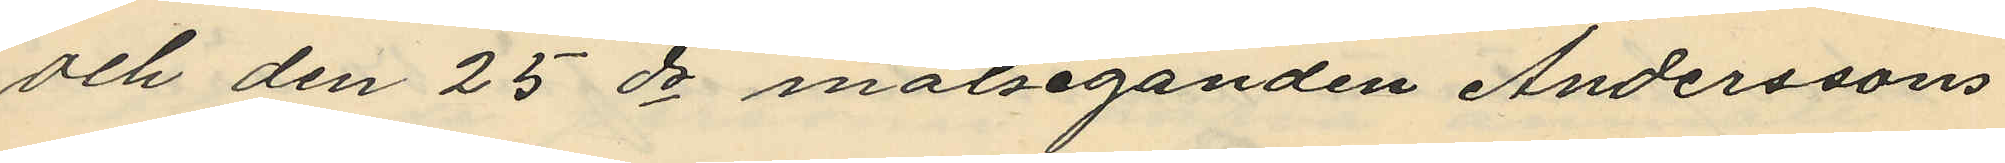och den 25 ds målseganden Anderssons
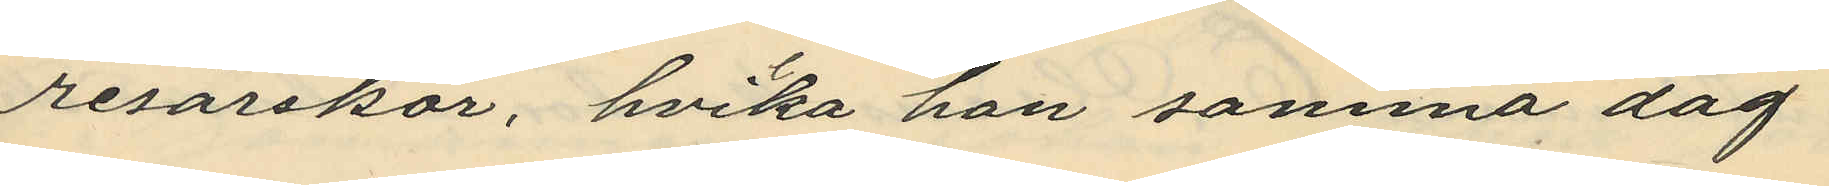resväskor, hvika han samma dag
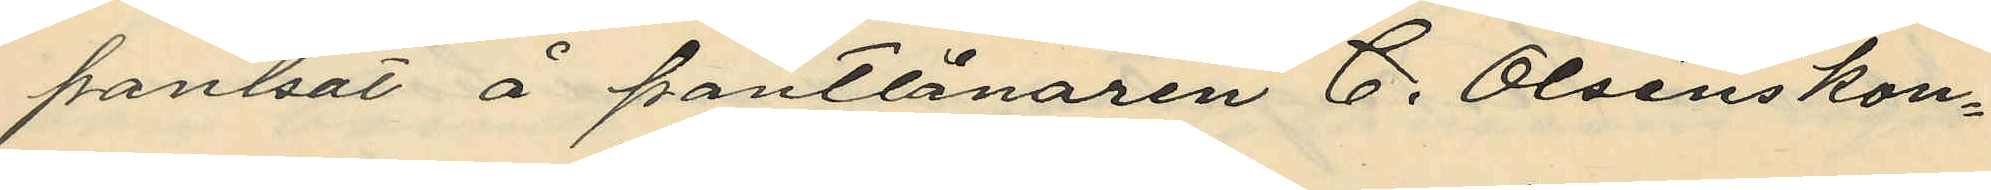pantsatt å pantlånaren C. Olséns kon¬
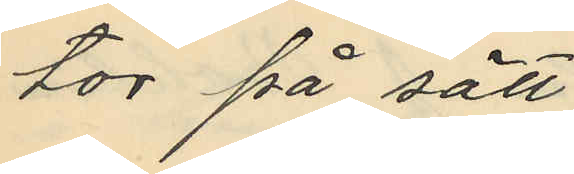tor på sätt
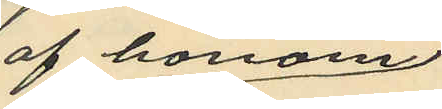af honom
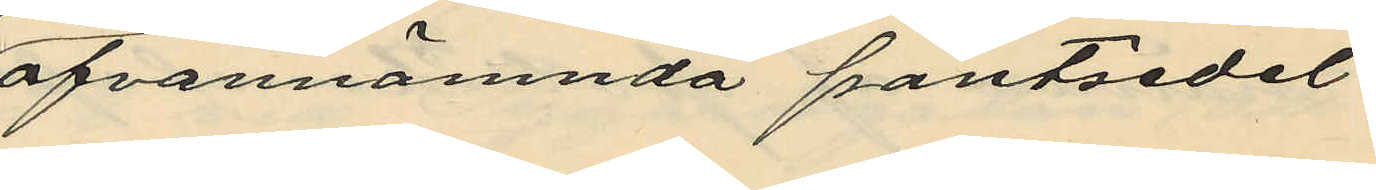ofvannämnda pantsedel
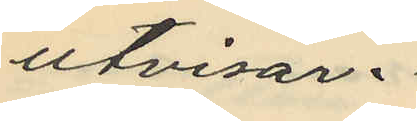utvisar.
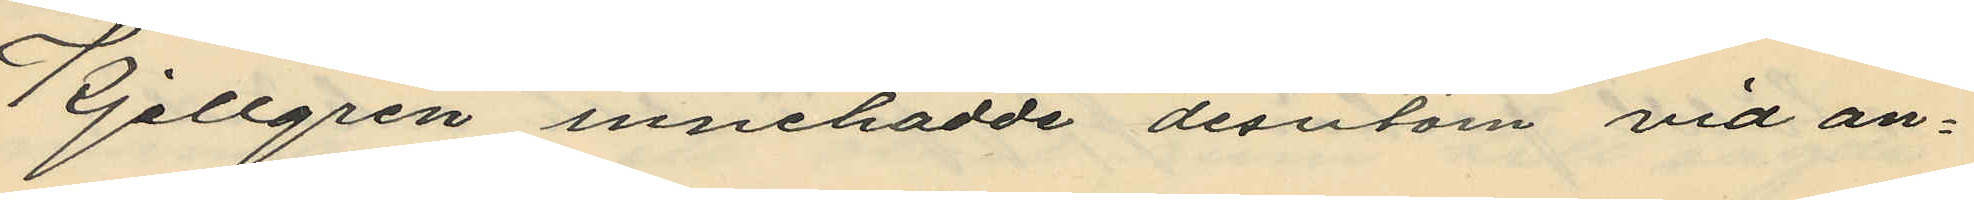Kjellgren innehadde desutom vid an¬
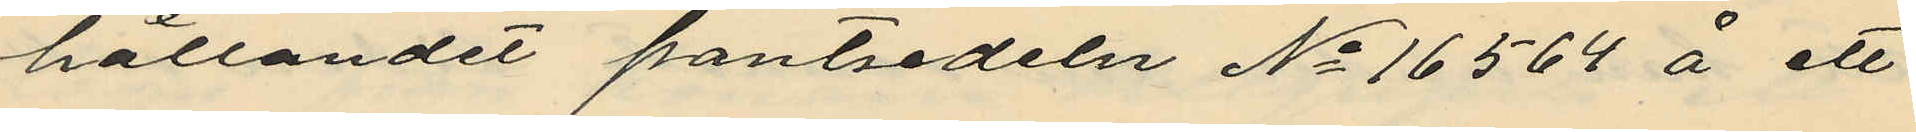hållandet pantsedeln No 16564 å ett
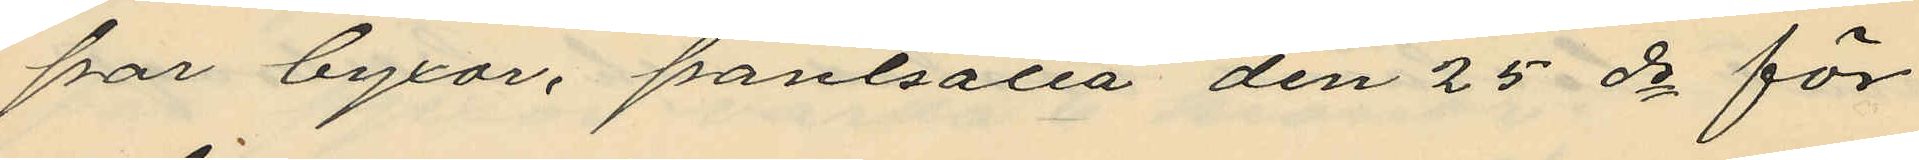par byxor, pantsätta den 25 ds för
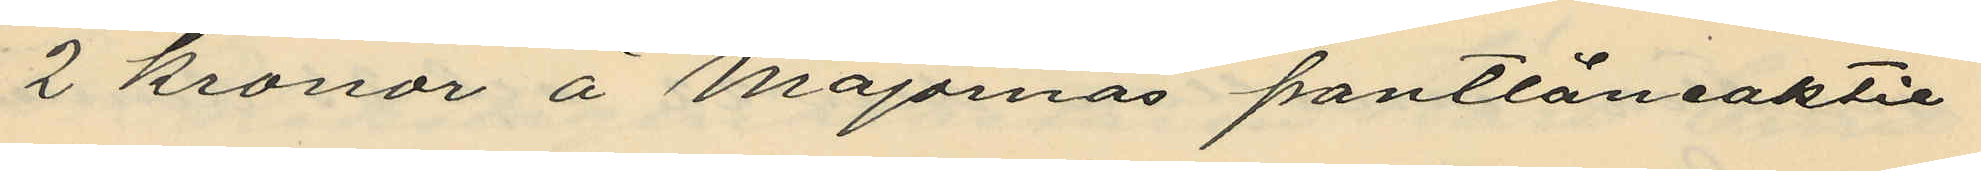2 kronor å Majornas pantlåneaktie
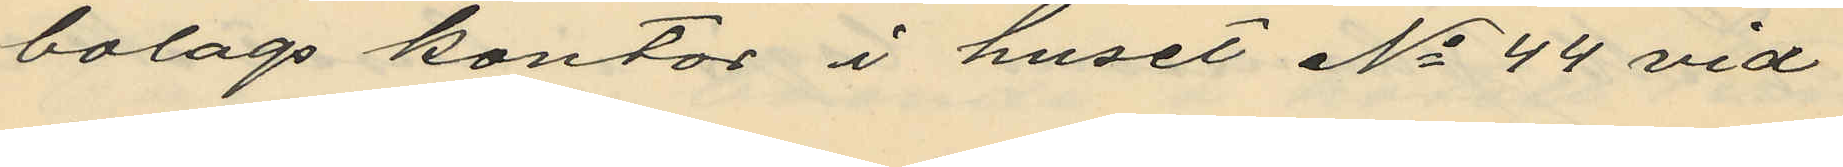bolags kontor i huset No 44 vid
